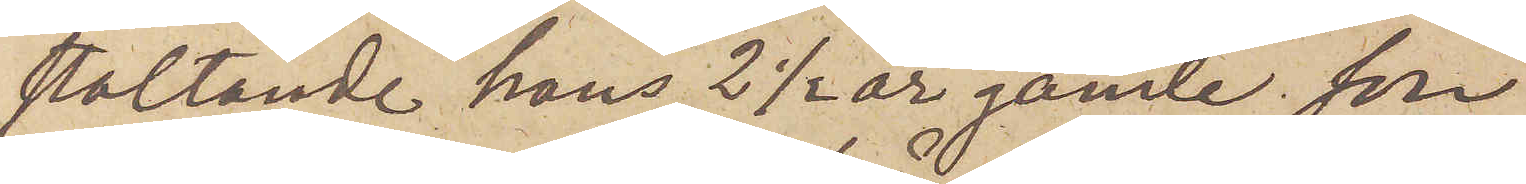staltande hans 2 ½ år gamle son
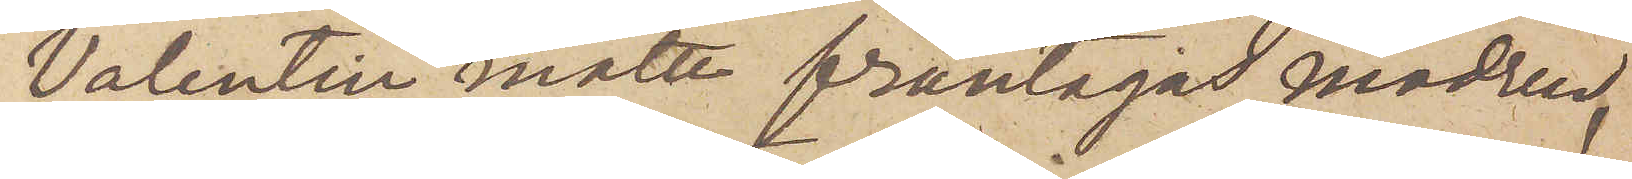Valentin måtte fråntagas modren,
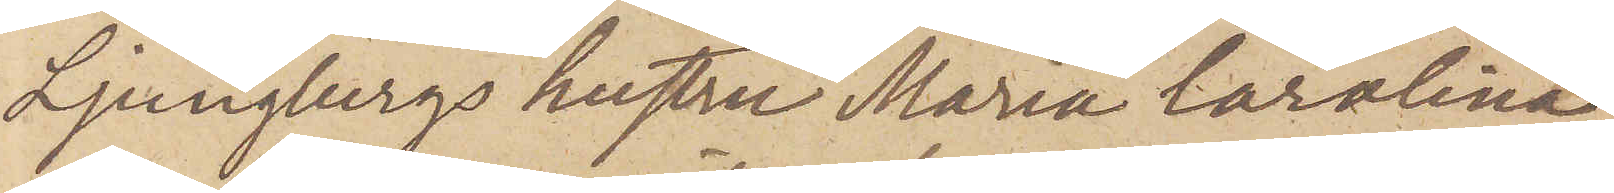Ljungbergs hustru Maria Carolina,
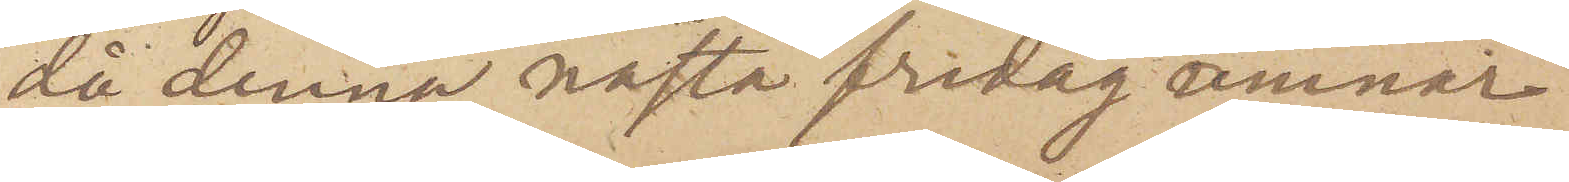då denna nästa fredag ämnar
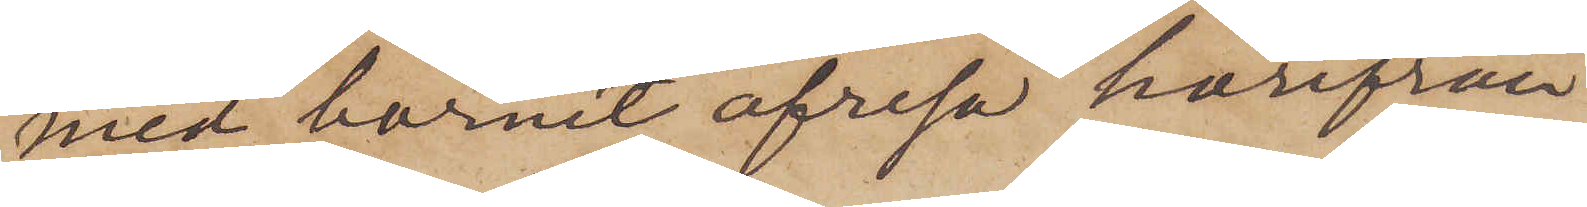med barnet afresa härifrån
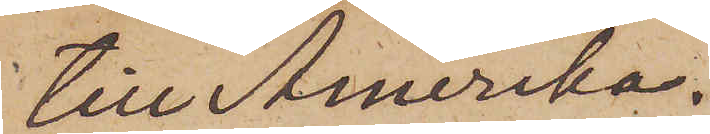till Amerika.
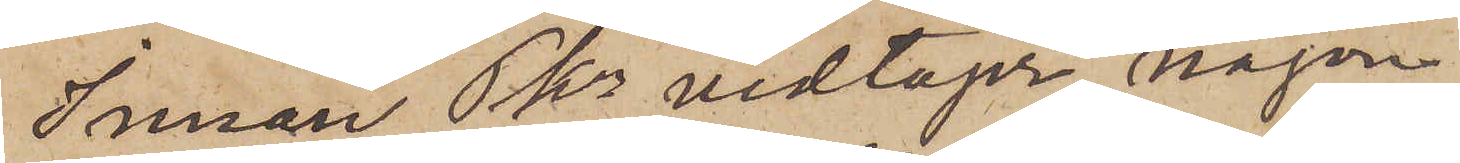Innan Pkn vidtager någon
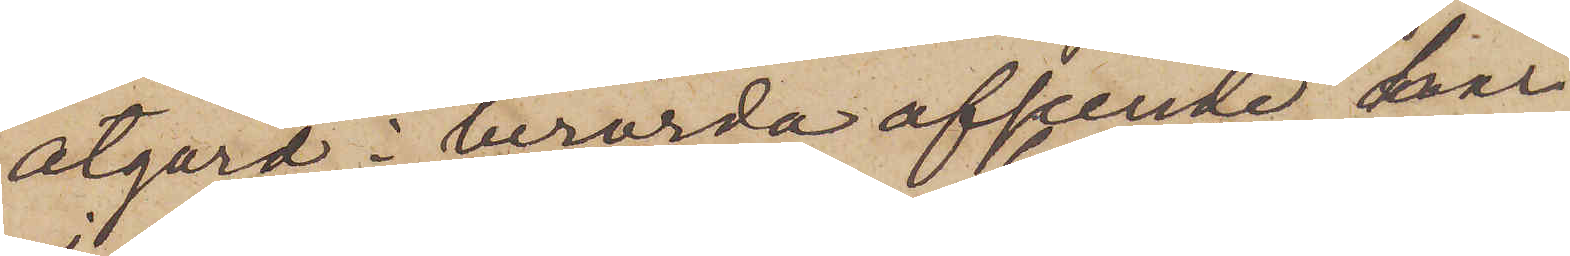åtgärd i berörda afseende har
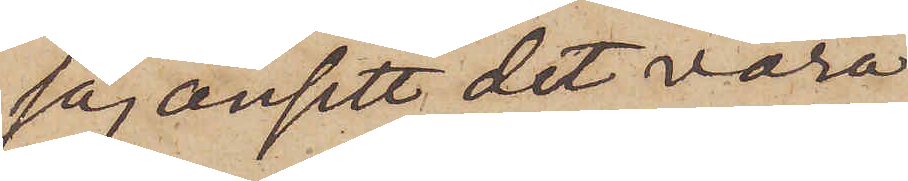jag ansett det vara
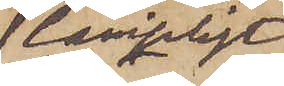lämpligt
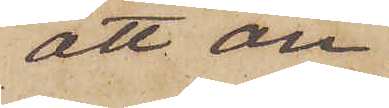att an¬
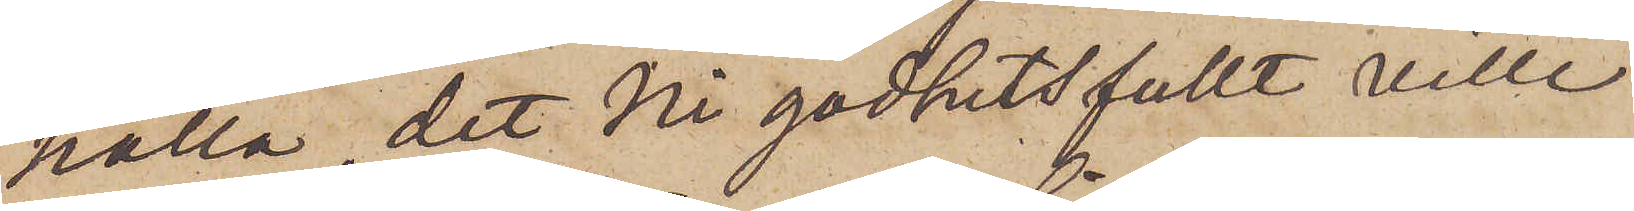hålla, det Ni godhetsfullt ville
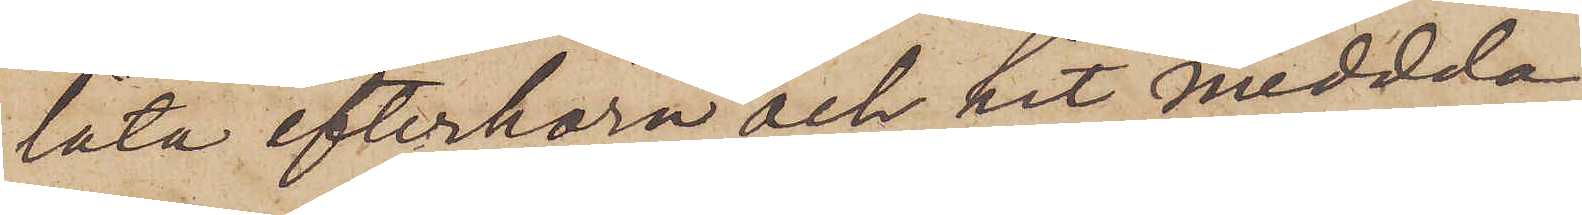låta efterhöra och hit meddda,
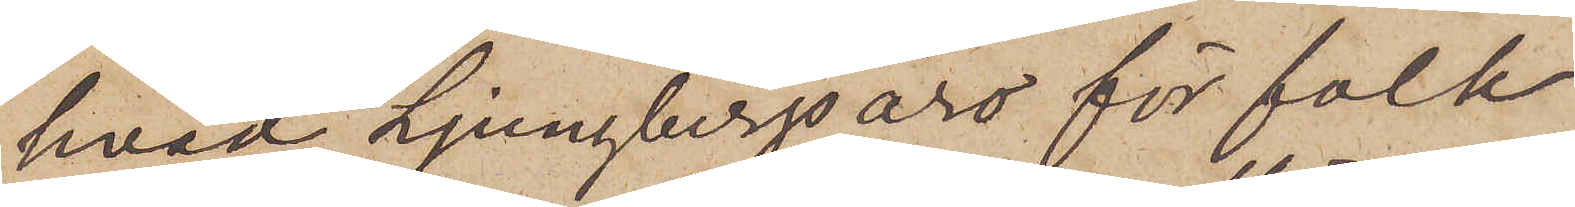hvad Ljungbergs äro för folk
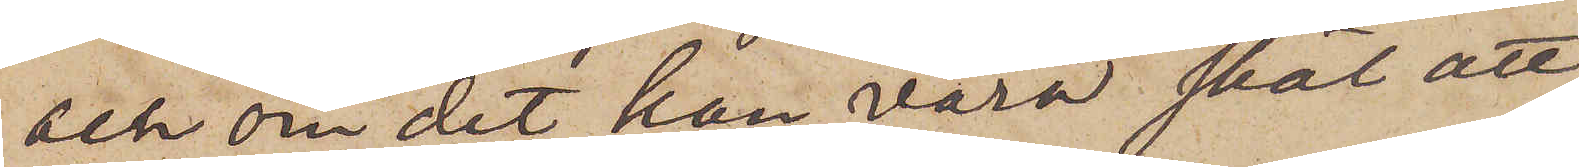och om det kan vara skäl att
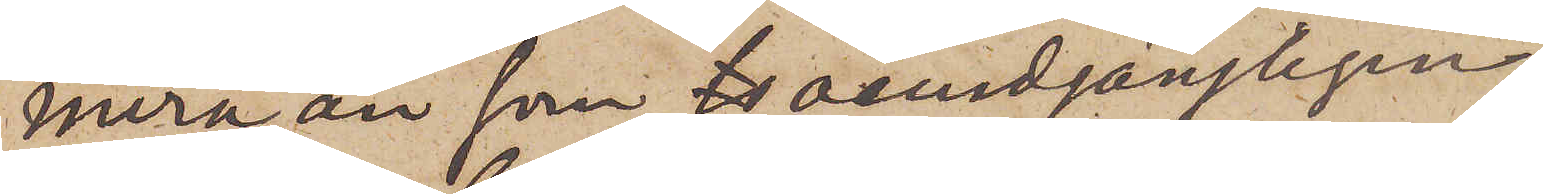mera, än som oundgängligen
